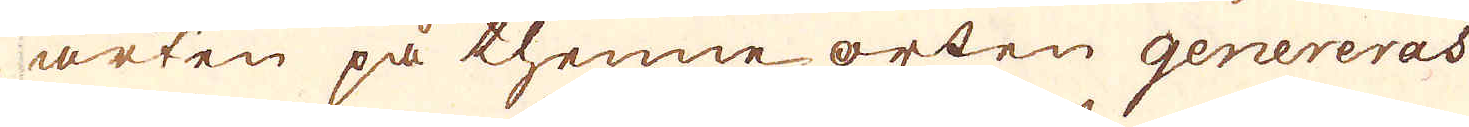arten på thenne orten genereras
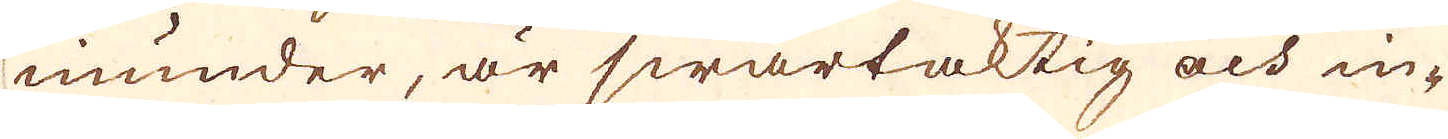inunder, är swartaktig och in-
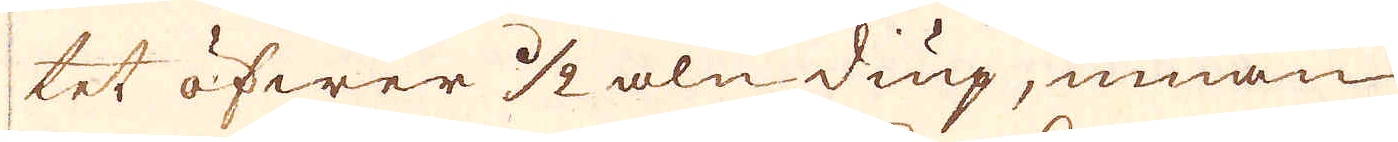tet öfwer 1/2 aln diup, innan
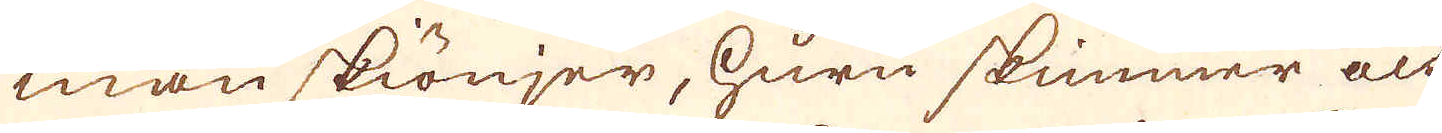man skiönjer, huru skimmer och
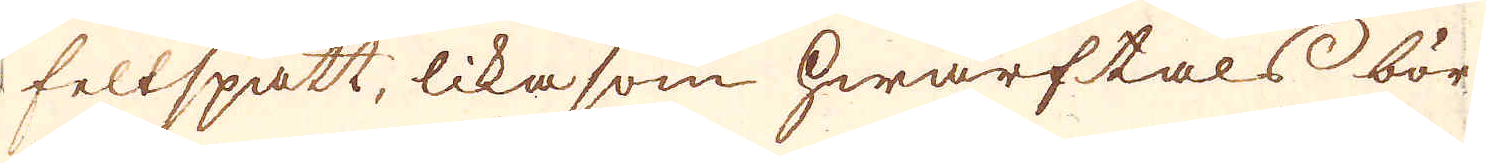feltspatt, likasom hwarftals bör-
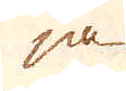ja
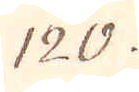120.
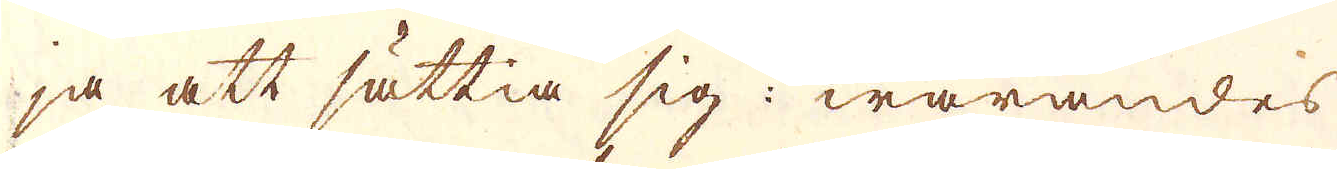ja att sättia sig: warandes
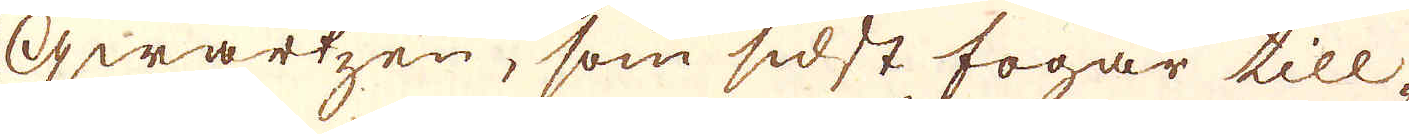qwartzen, som sidst fogar till-
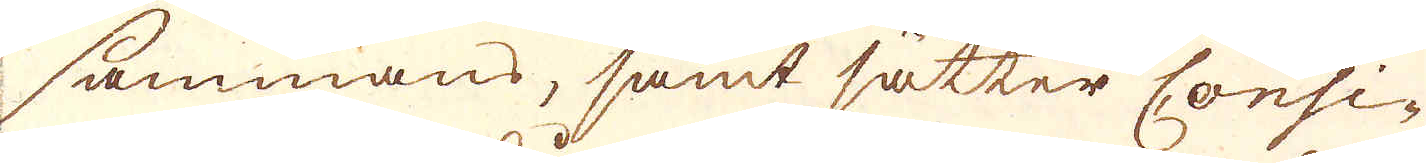sammans, samt sätter Consi-
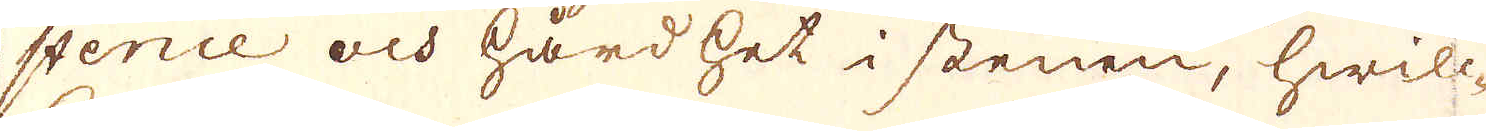stence och hårdhet i stenen, hwilc-
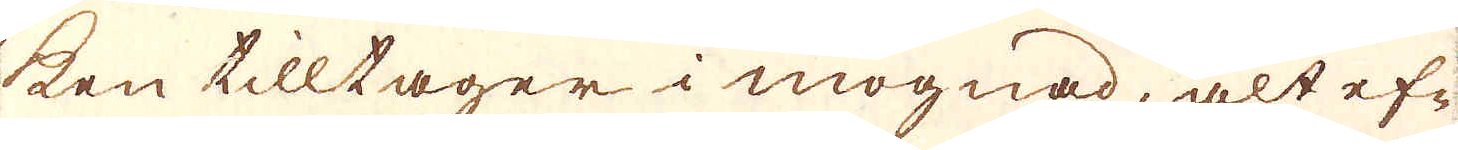ken tilltager i mognad, alt ef-
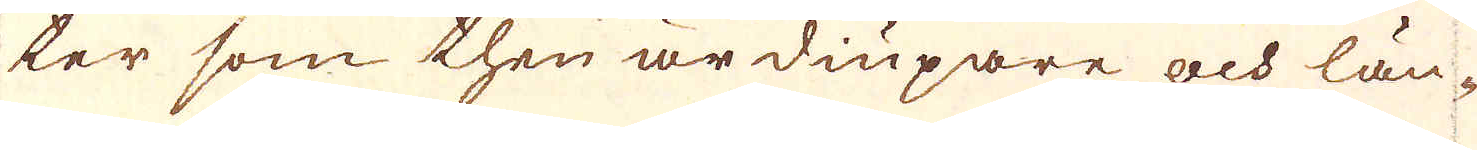ter som then är diupare och län-
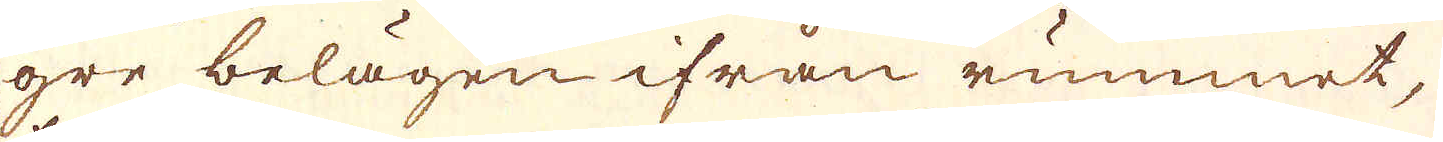gre belägen ifrån rummet,
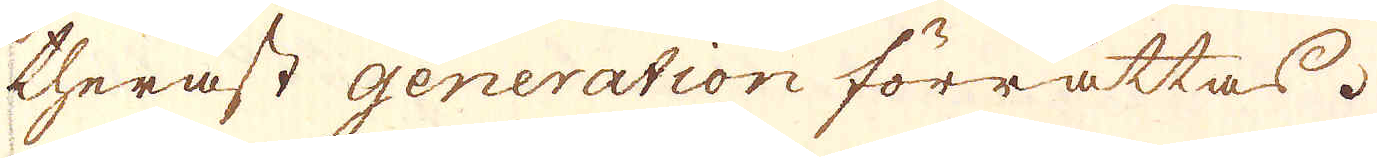theräst generation förrättas.
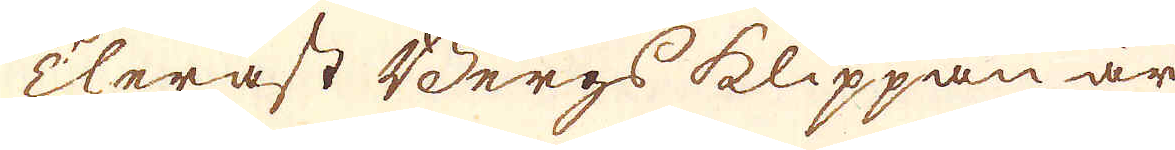Theräst Bergs klippan är
